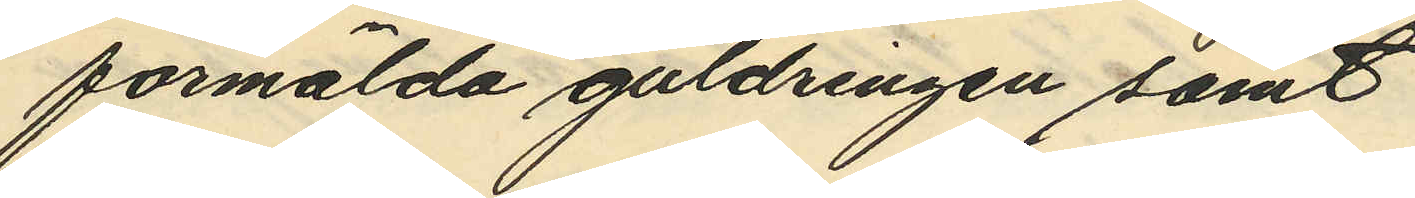förmälda guldringen samt
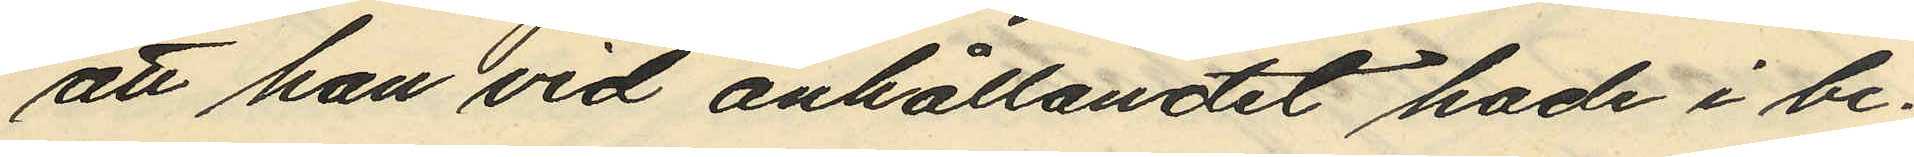att han vid anhållandet hade i be¬
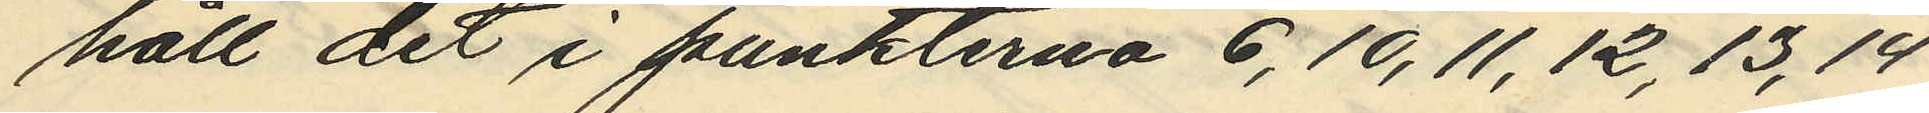håll det i punkterna 6, 10, 11, 12, 13, 14
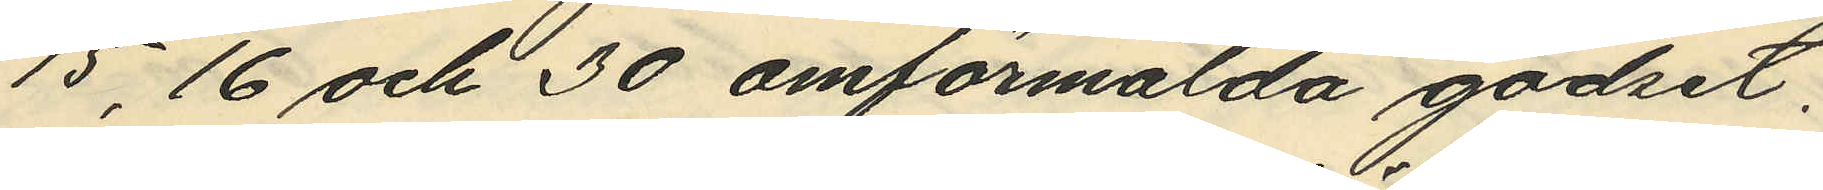15, 16 och 30 omförmälda godset.
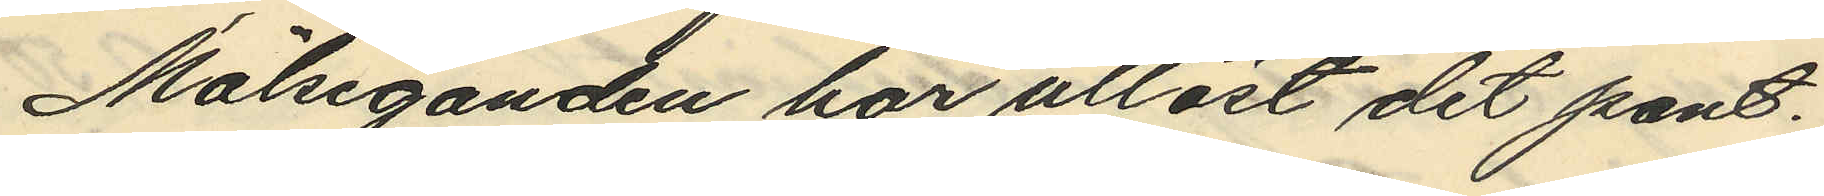Målseganden har utlöst det pant¬
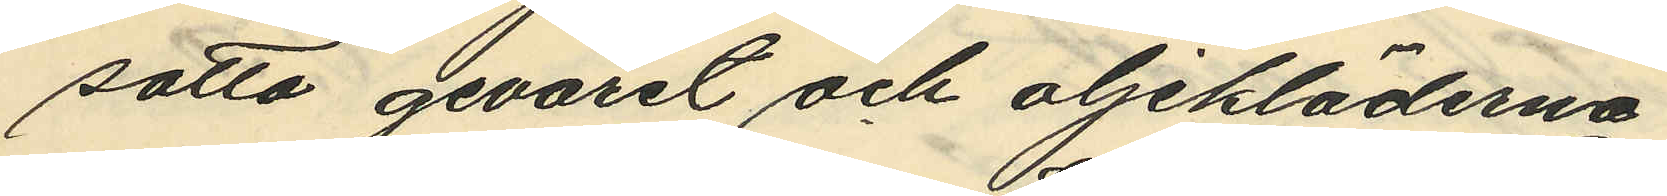satta geväret och oljekläderna.
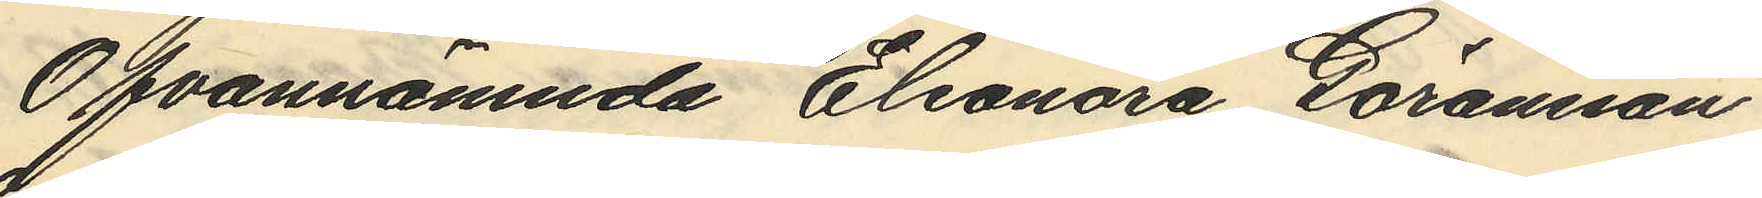Ofvannämnda Eleonora Göransson
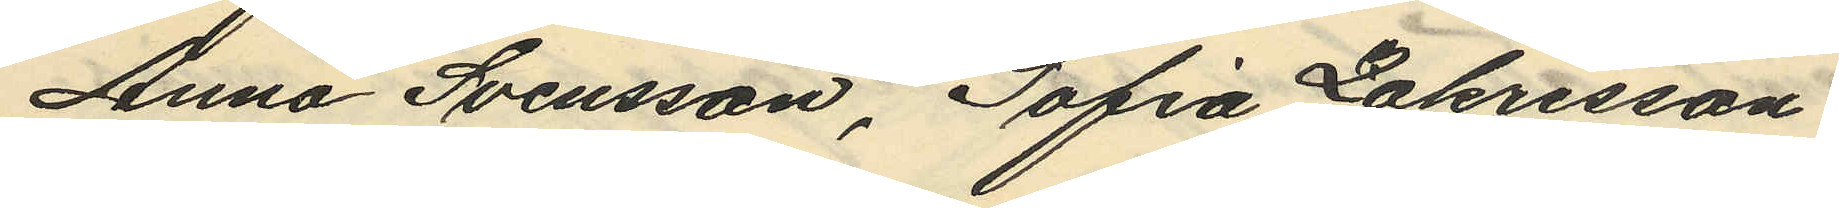Anna Svensson, Sofia Zakrisson
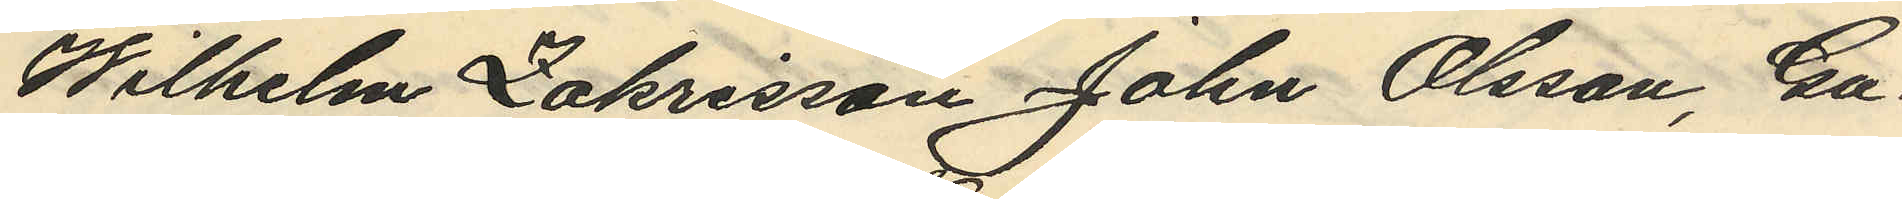Wilhelm Zakrisson John Olsson, Gu¬
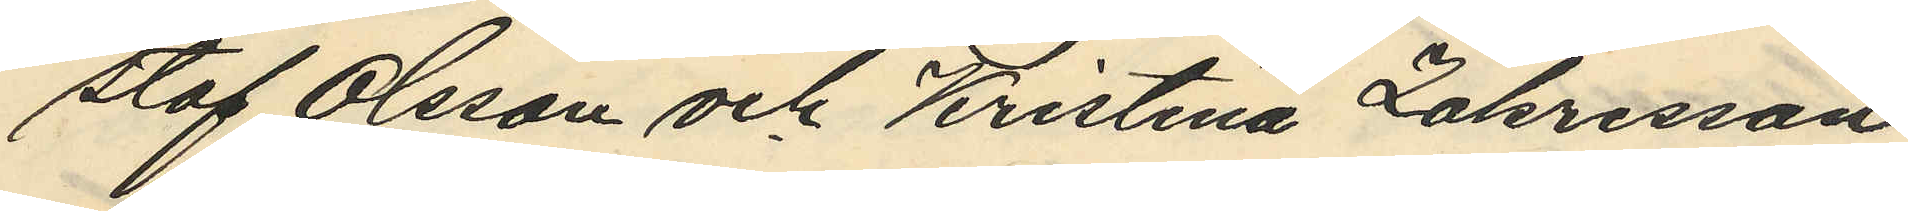staf Olsson och Kristina Zakrisson
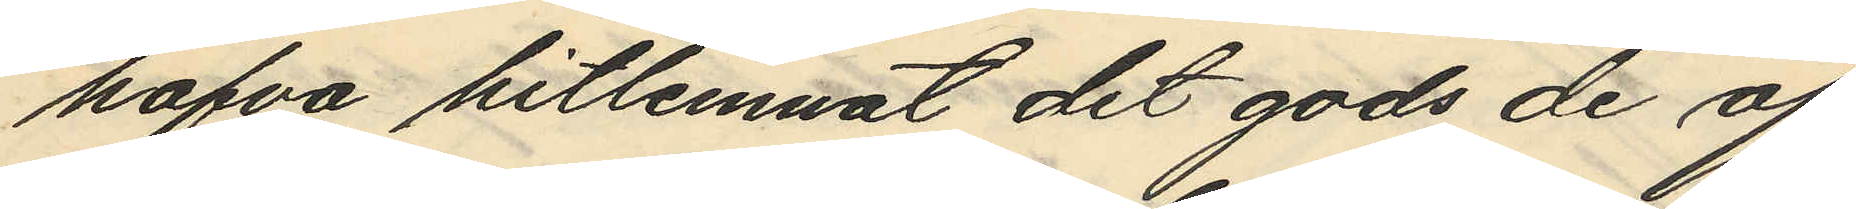hafva hitlemnat det gods de af
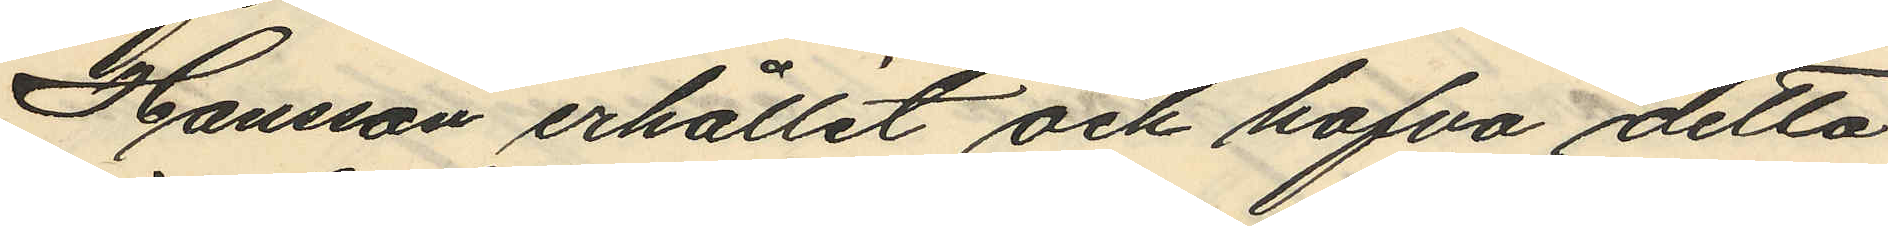Hansson erhållit och hafva detta
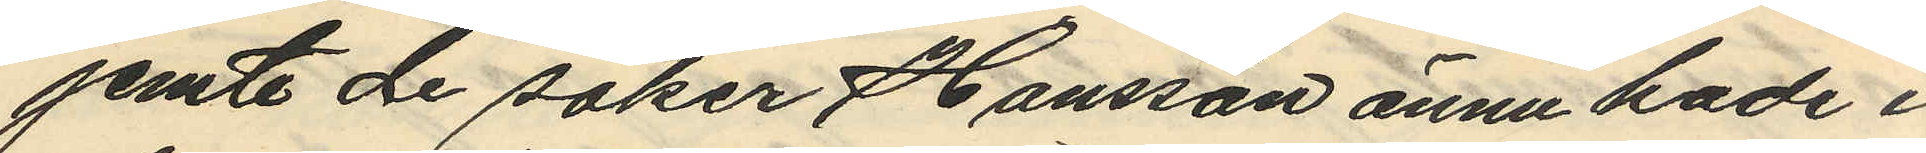jemte de saker Hansson ännu hade i
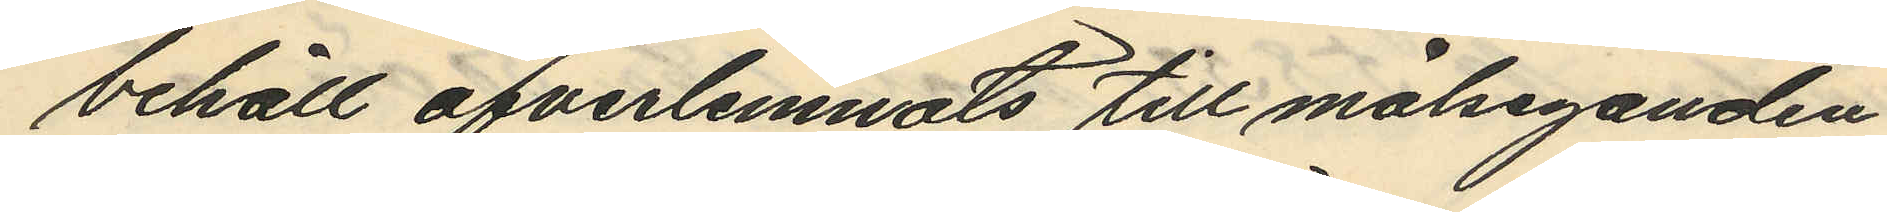behåll öfverlemnats till målseganden,
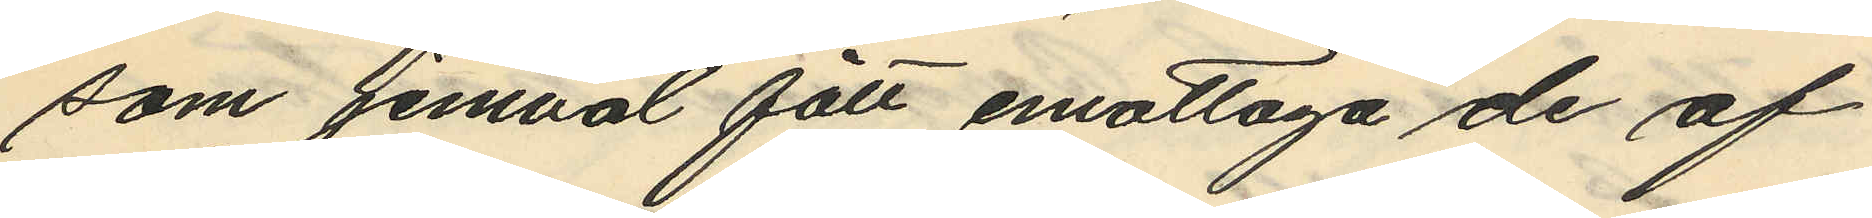som jemväl fått emottaga de af
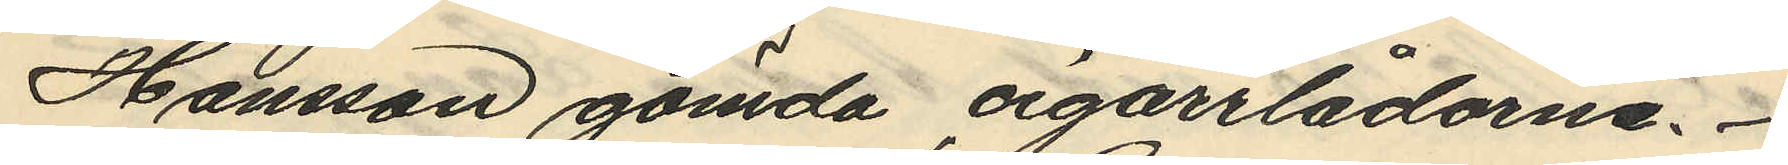Hansson gömda cigarrlådorna.
